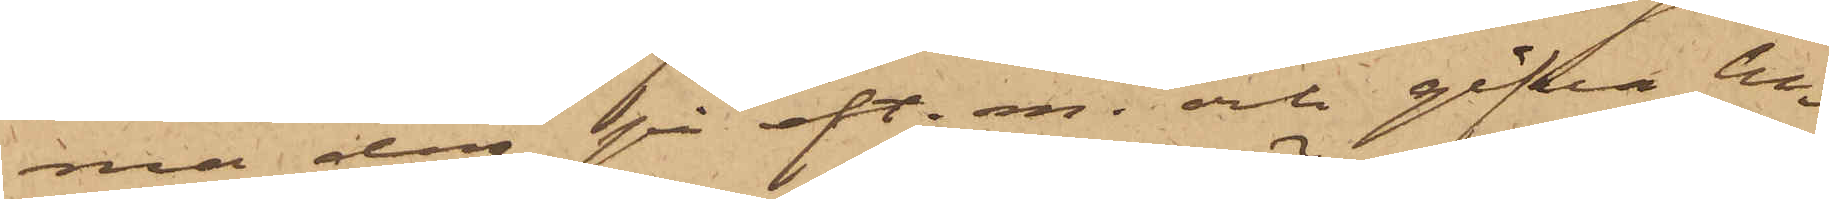ma dag på eft. m. och gifva be¬
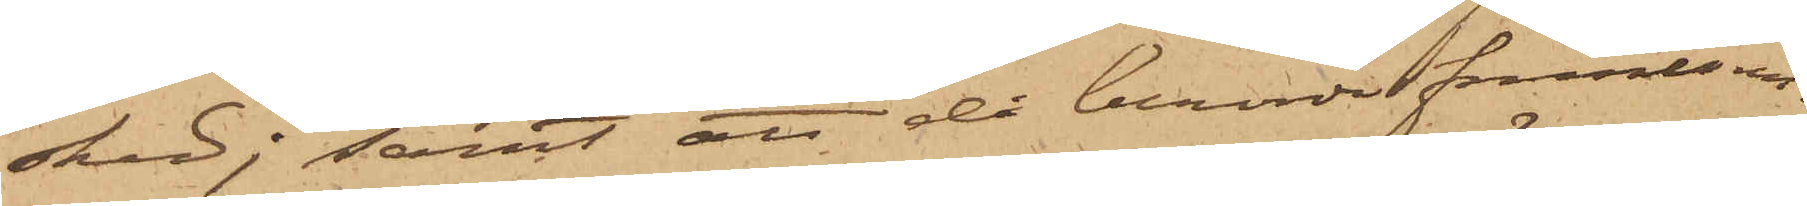sked; samt att då berörde fruntim¬
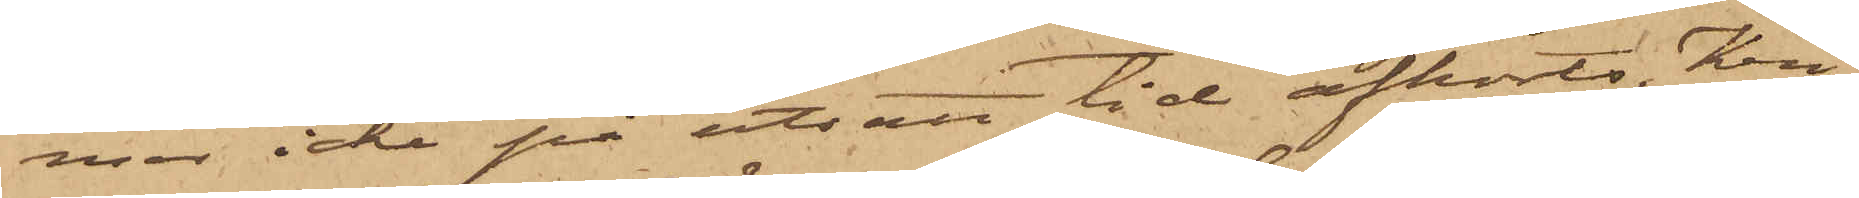mer icke på utsatt tid afhörts, Kri¬
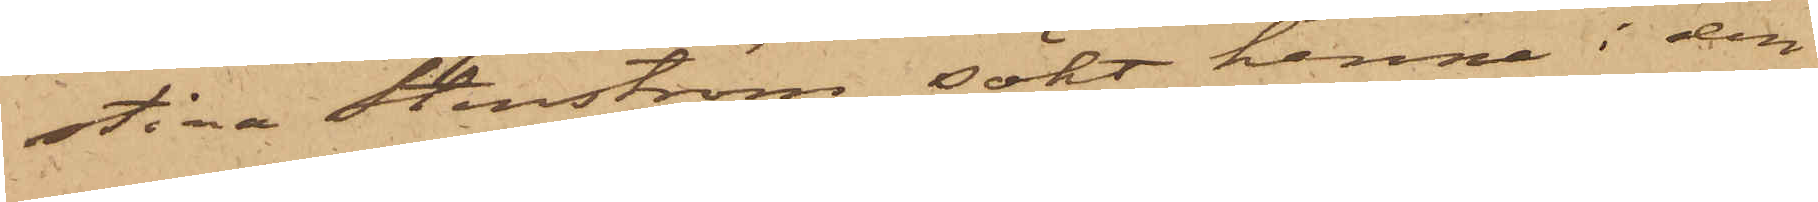stina Stenström sökt henne i den
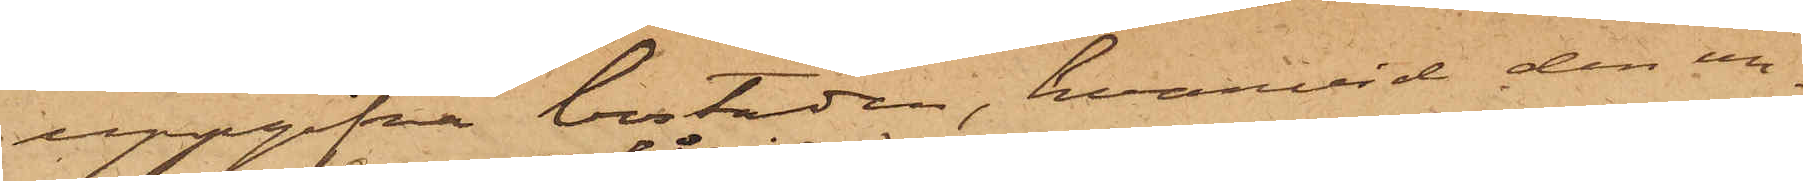uppgifna bostaden, hvarvid den un¬
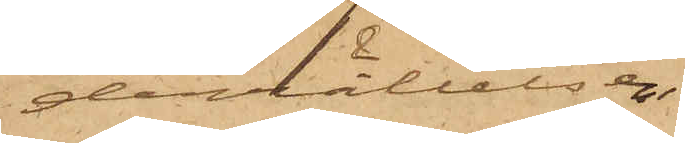derrättelse
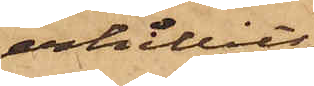erhållits
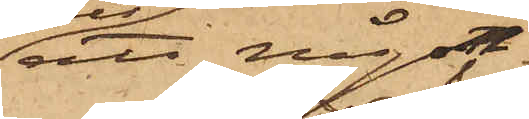att någon
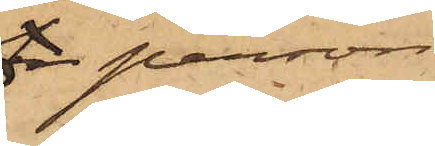fr person
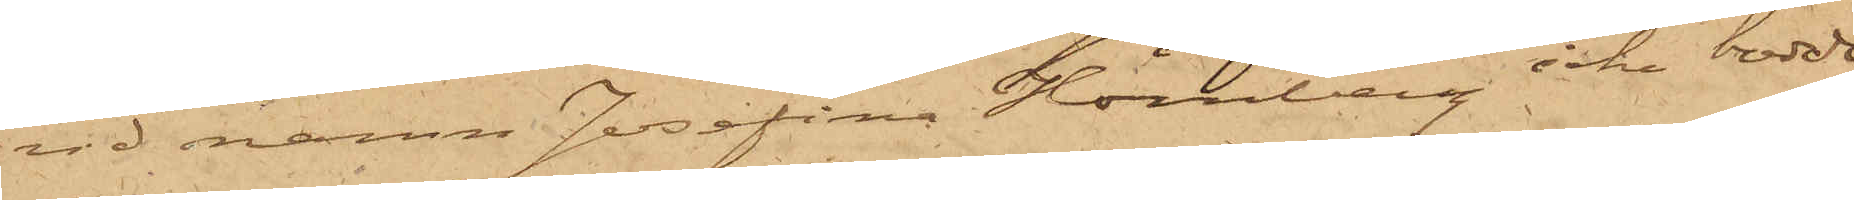vid namn Josefina Hörnberg icke bodde
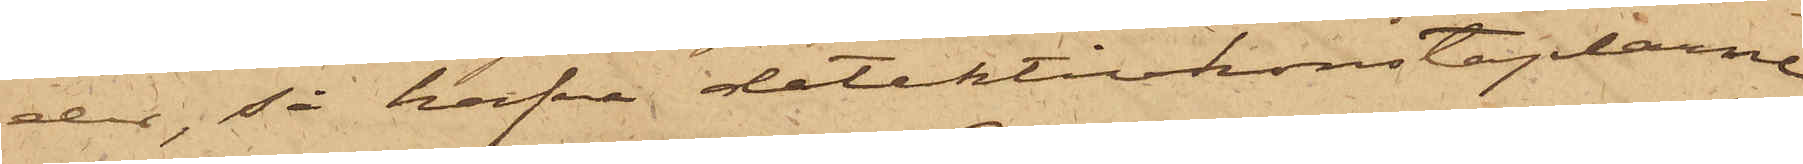der, så hafva detektivkonstaplarne
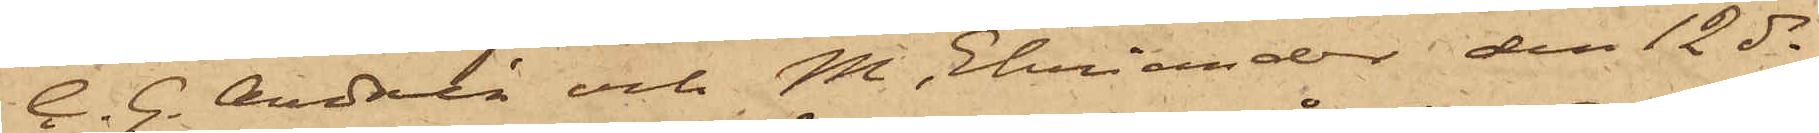C. G. Andrén och M. Ehriander den 12 ds
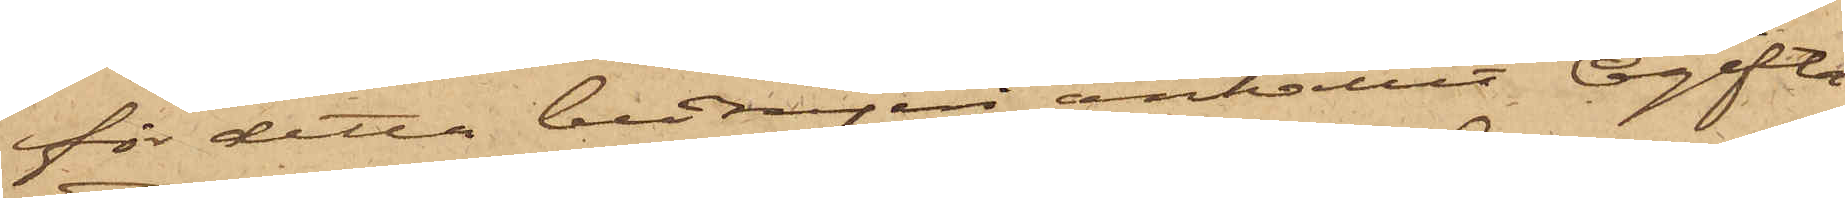för detta bedrägeri anhållit Ogifta
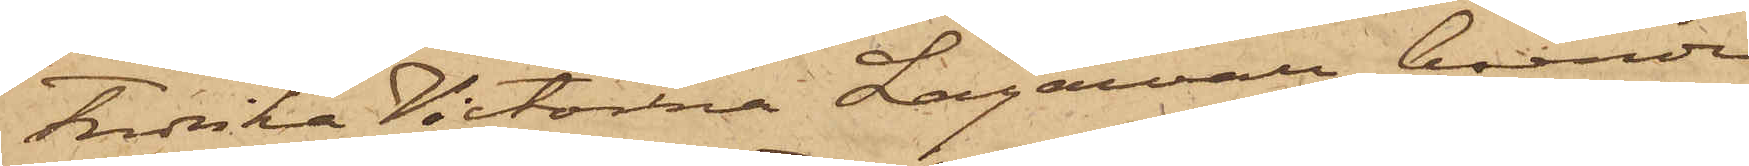Fredrika Victorina Lagervall, boende
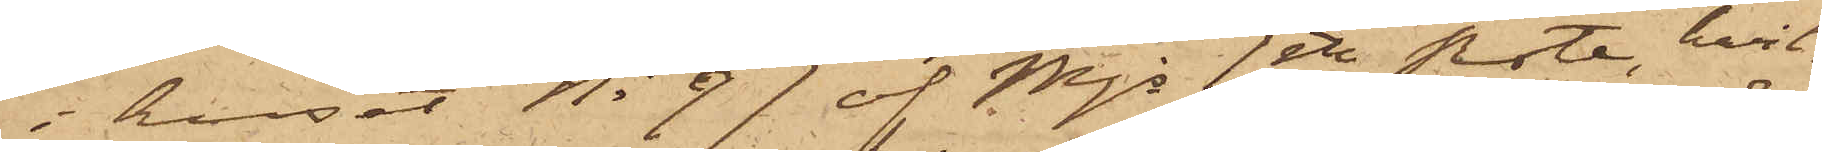i huset No 97 af Mjs 1ste Rote, hvil¬
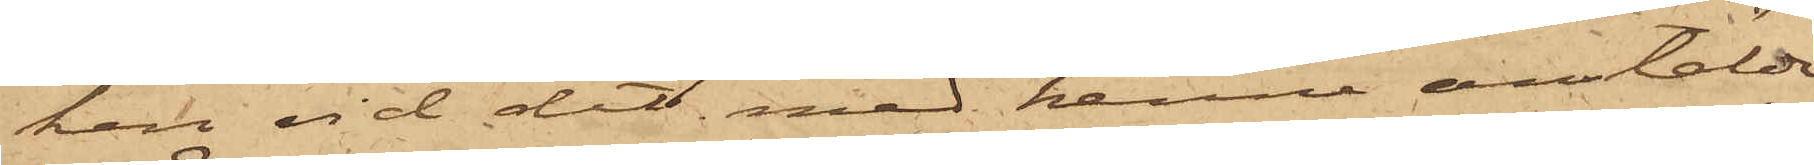ken vid det med henne anstälda
